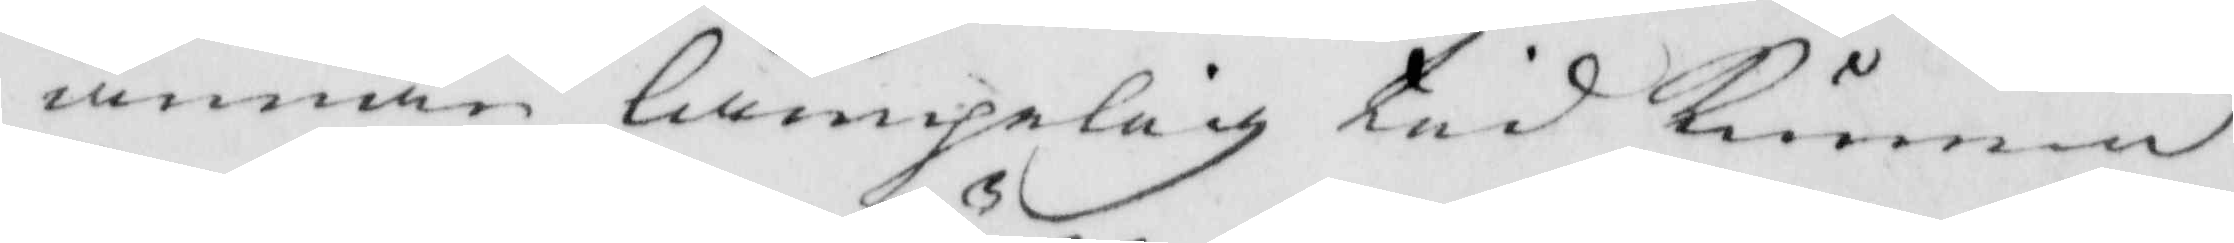annan lämpelig tid kunna
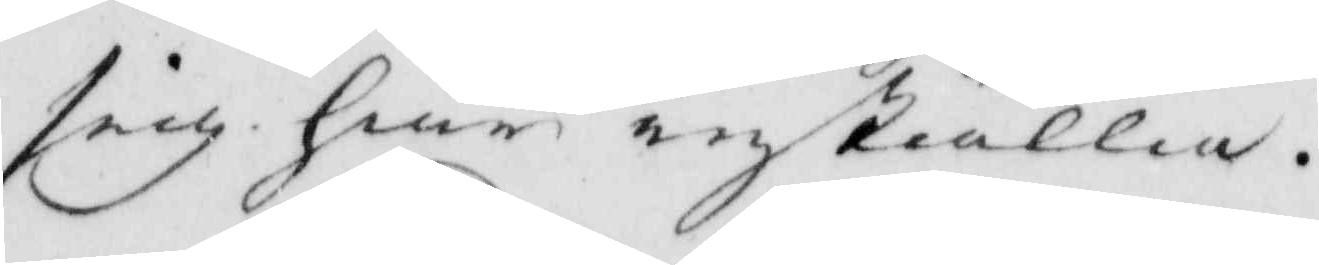sig här inställa..
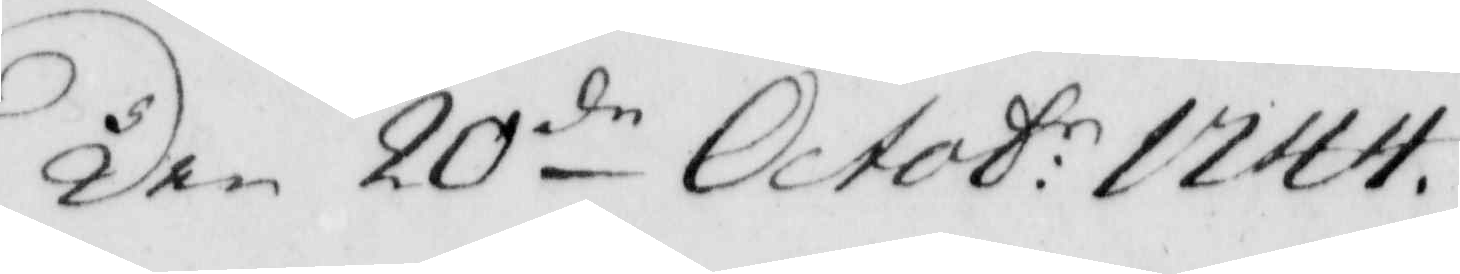Den 20de Octob: 1744. 
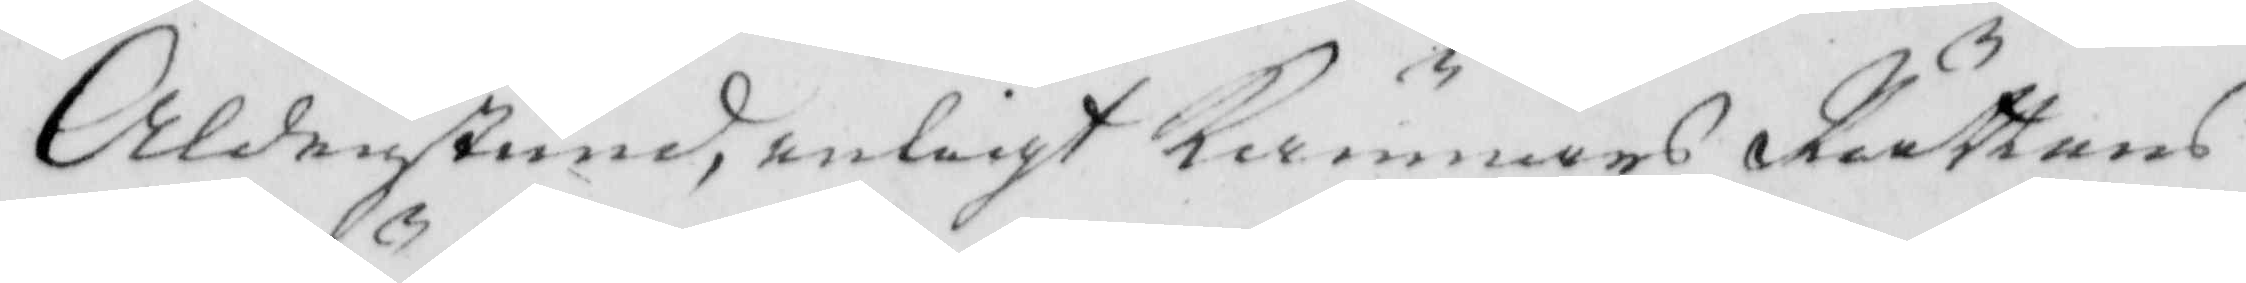Aldenstund, enligt Kämnärs Rättens
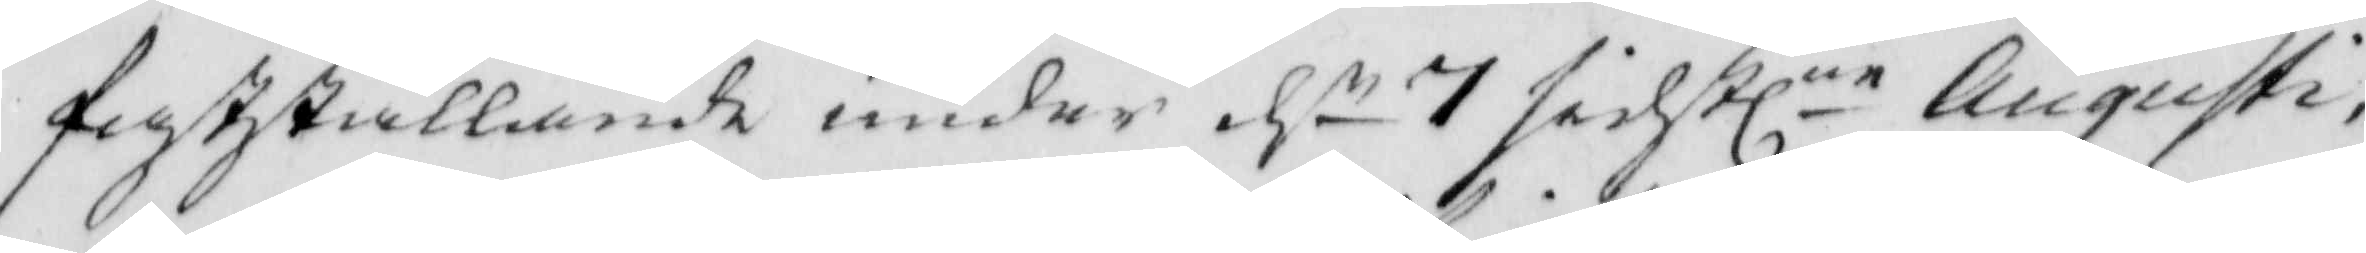fastställande under dn 7 sidstlne Augusti, 
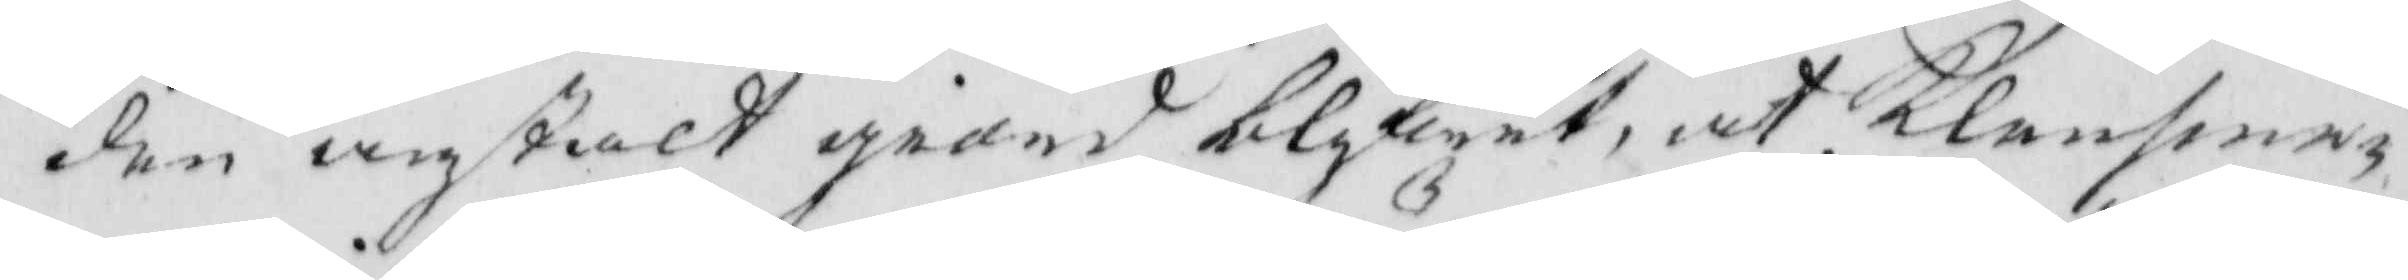den anstalt giord blifwit, at Klensme¬
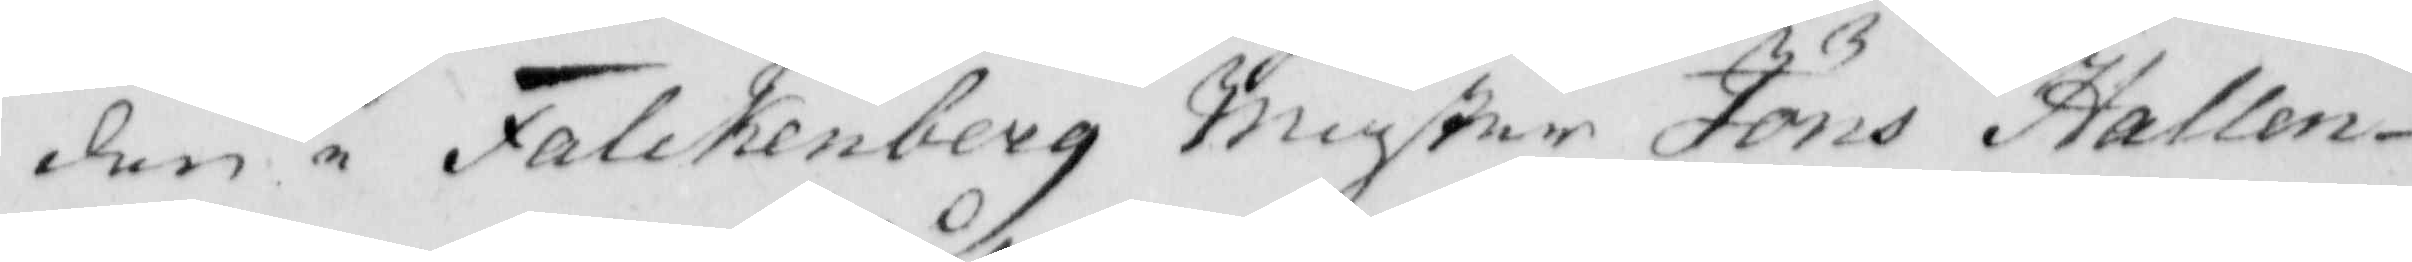den i Falckenberg Mäster Jöns Hallen¬
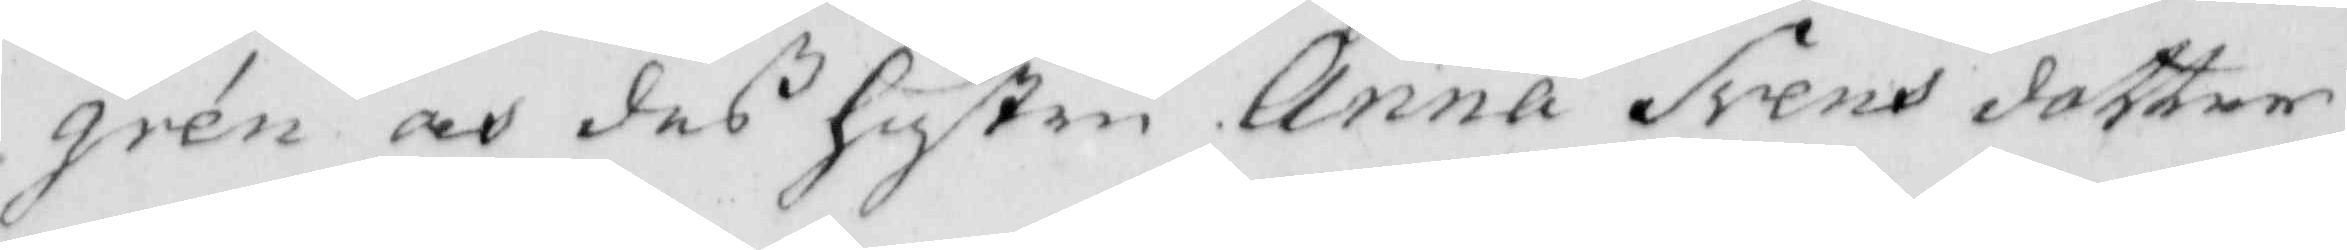gren och deß Hustru Anna Svens dotter
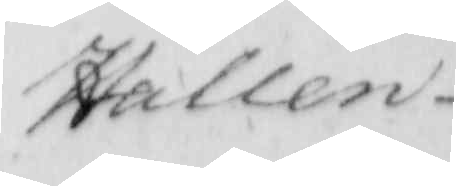Hallen¬
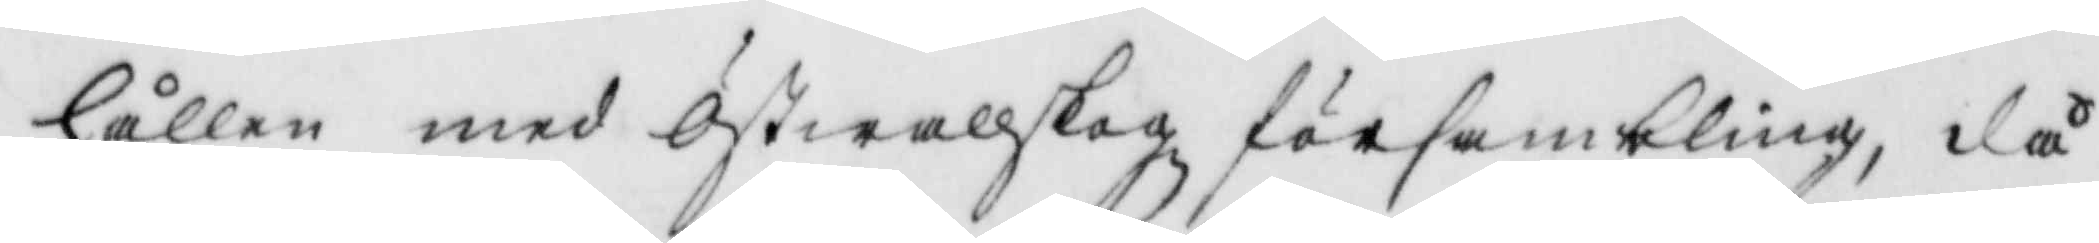hållen med Östwallskogz försambling, då
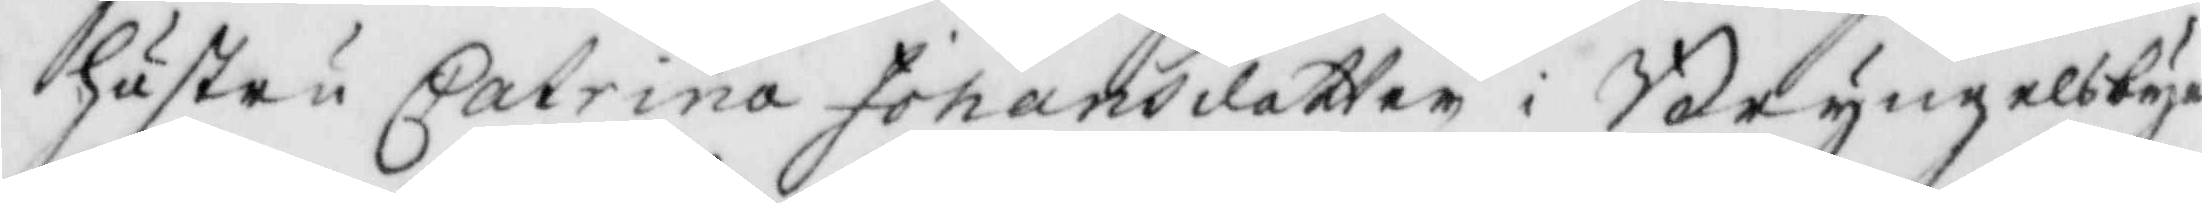hustru Catrina Johansdotter i Bryngelsbyn
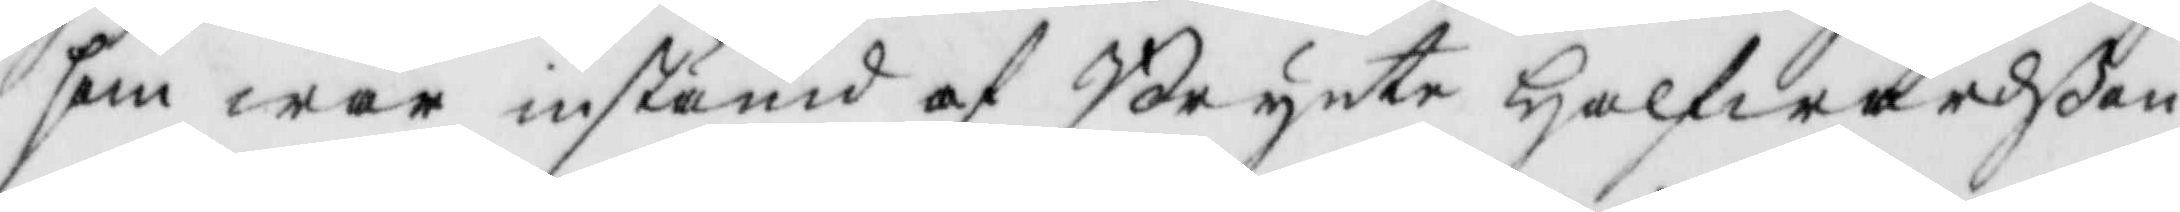som war instämd af Brynte Halfwardßon
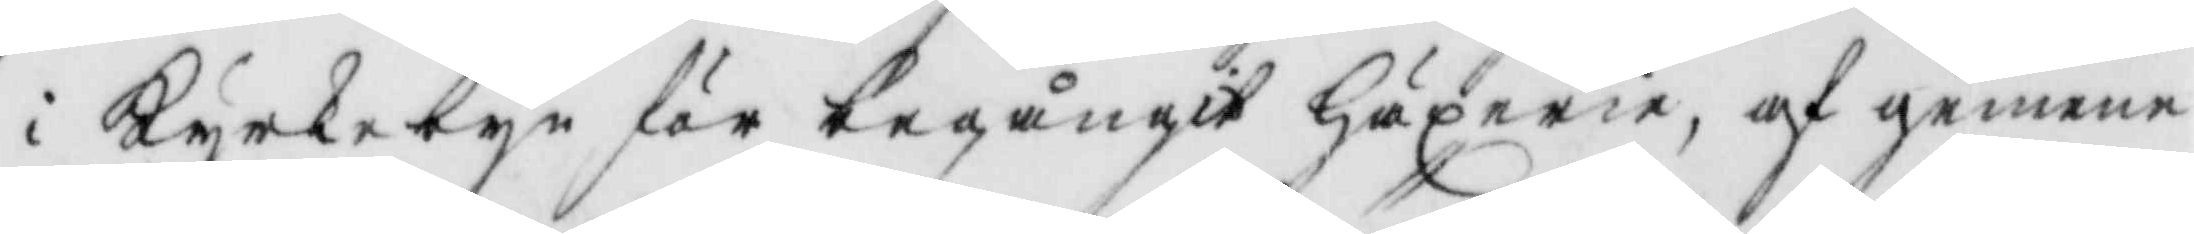i Kyrkebyn för begångit Häxerie, af gemme
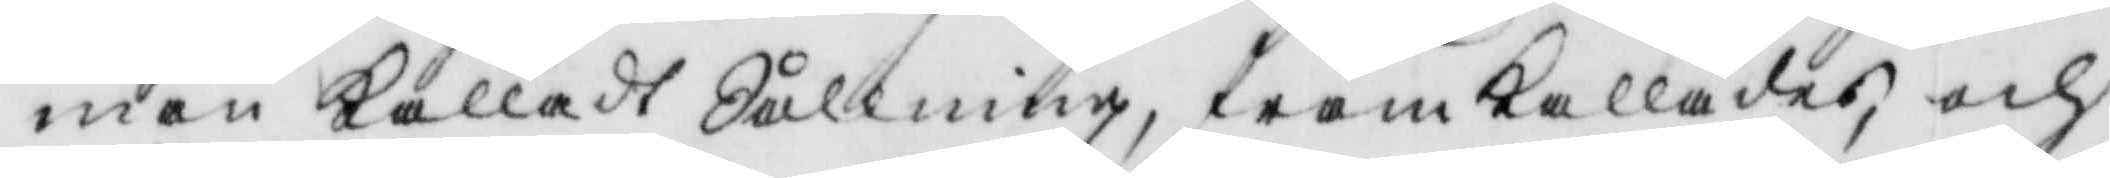man kalladt Sållning, framkallades och
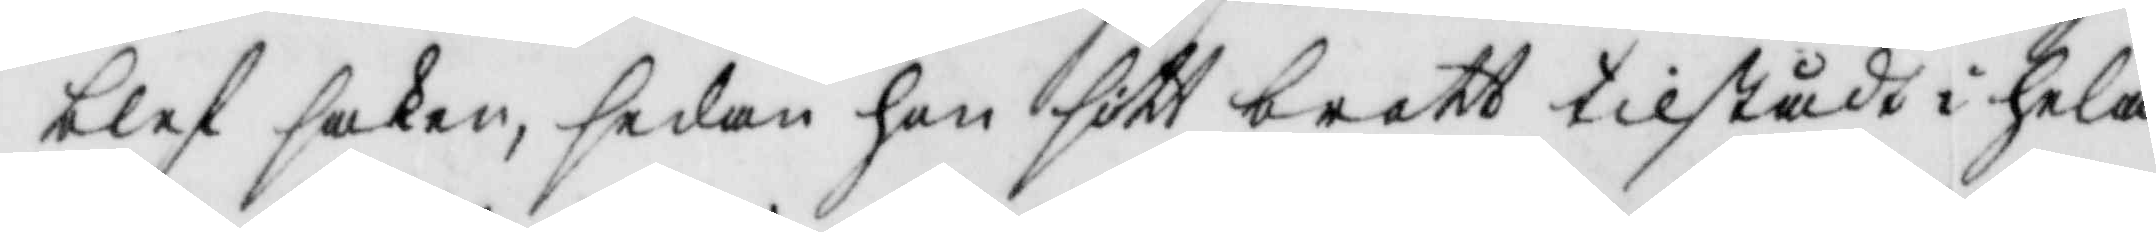blef saken, sedan hon sitt brott tilstådt i hela
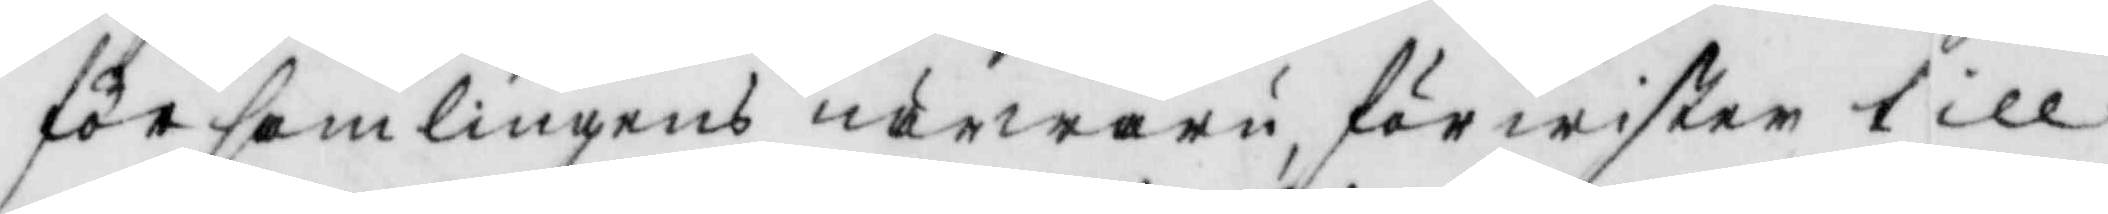församlingens närwaru, förwister till
